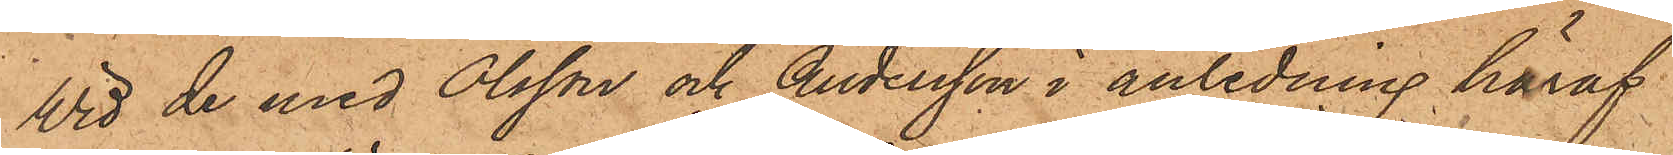Vid de med Olsson och Andersson i anledning häraf
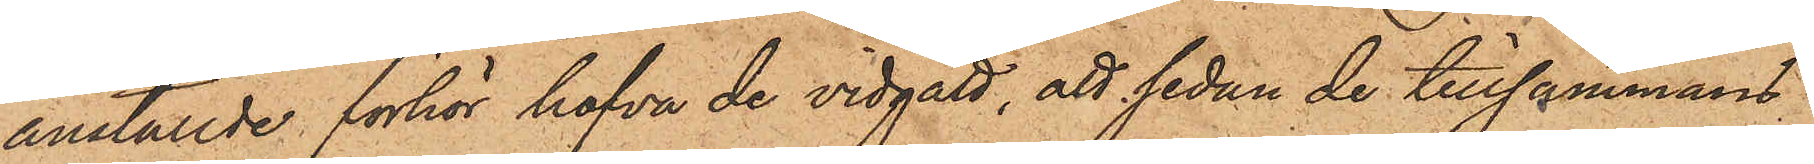anställde förhör hafva de vidgått, att sedan de tillsammans
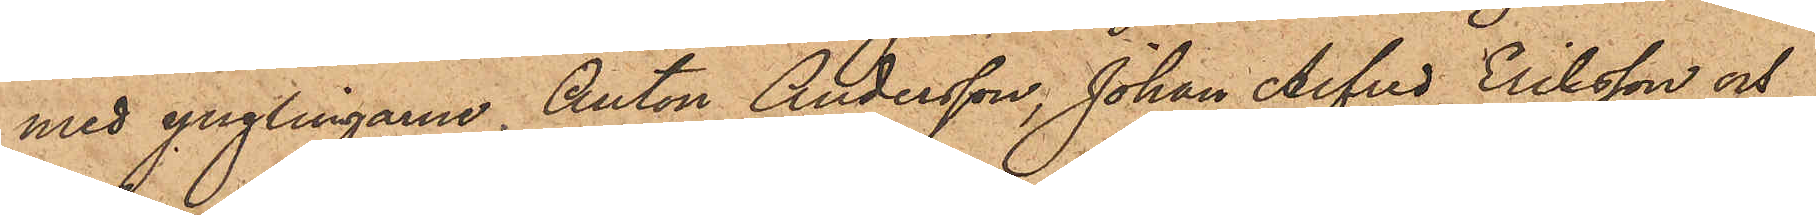med ynglingarne Anton Andersson, Johan Alfred Eriksson och
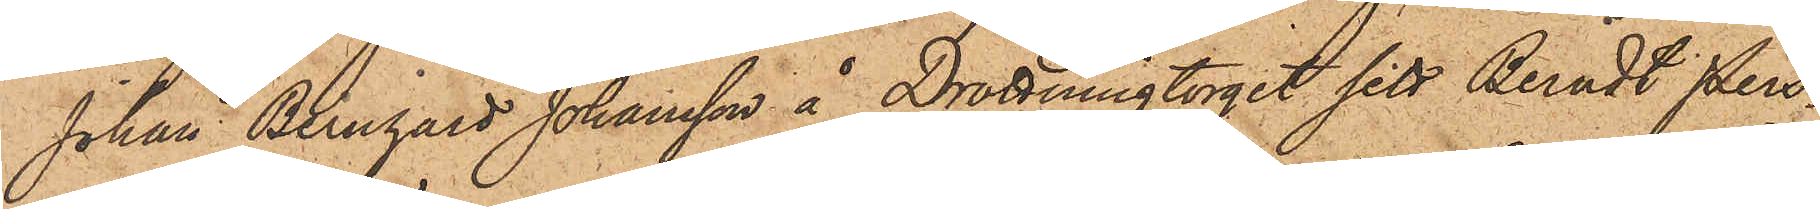Johan Bernhard Johansson å Drottningtorget sett Berndt Pers¬
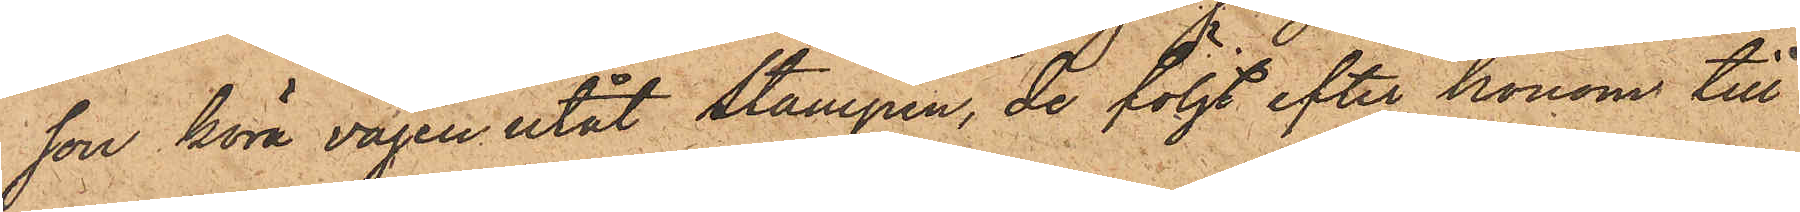son köra vägen utåt Stampen, de följt efter honom till
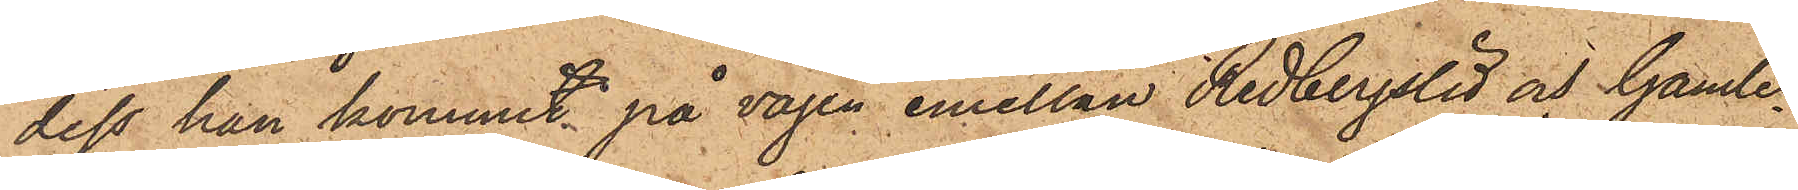dess han kommit på vägen emellan Redbergslid och Gamle¬
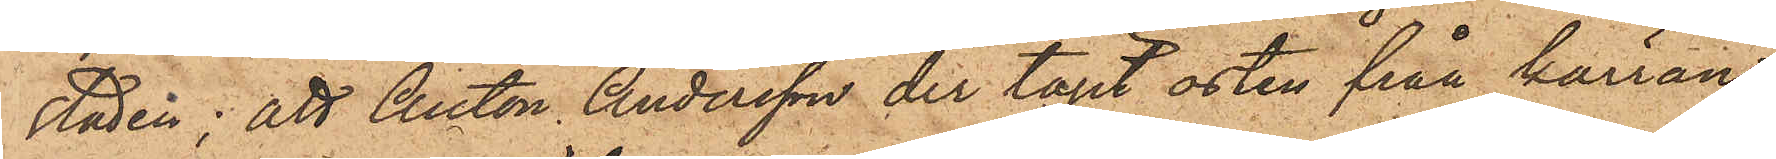staden; att Anton Andersson der tagit osten från kärran
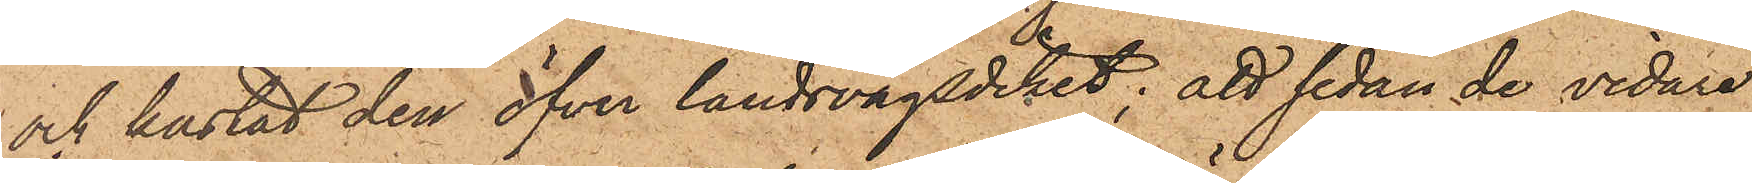och kastat den öfver landsvägsdiket; att sedan de vidare
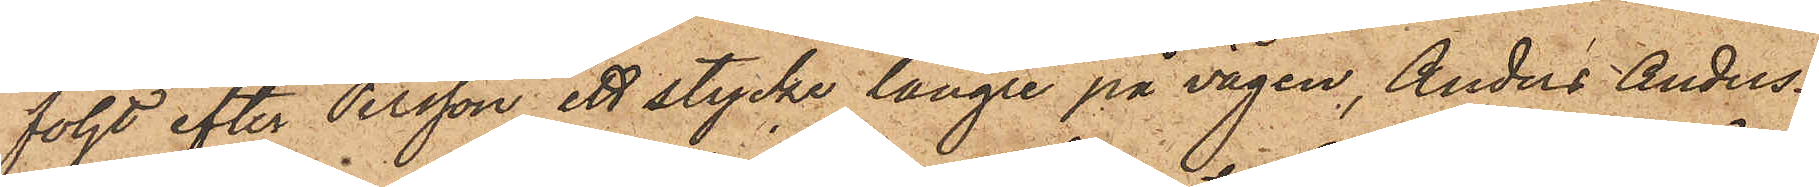följt efter Persson ett stycke längre på vägen, Anders Anders¬
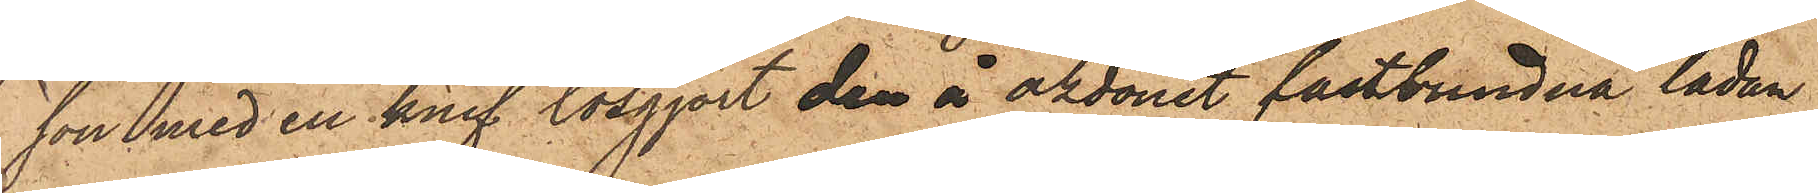son med en knif lösgjort den å åkdonet fastbundna lådan,
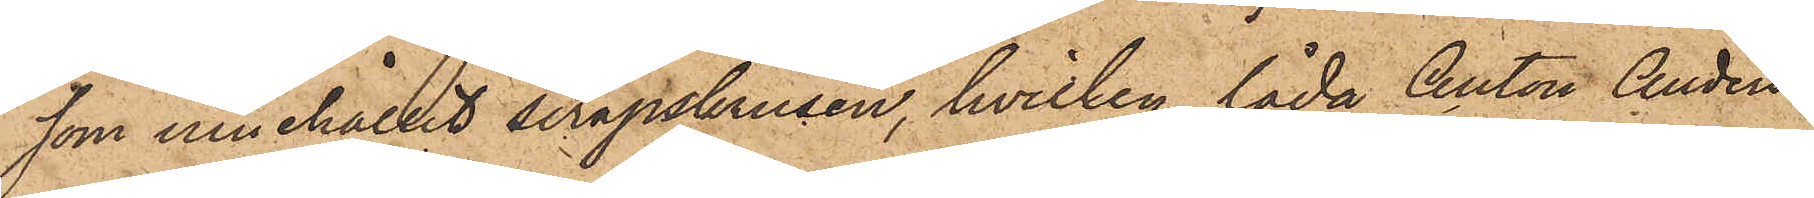som innehållit sirapskrusen, hvilken låda Anton Anders¬
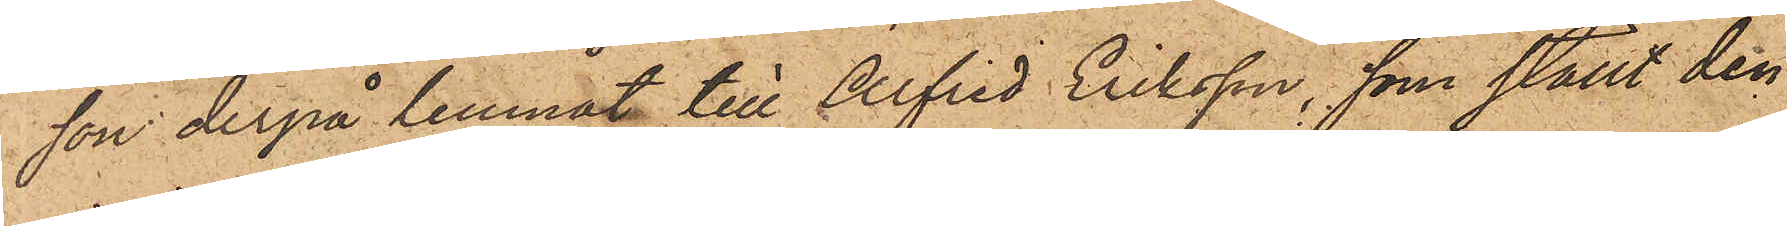son derpå lemnat till Alfred Eriksson, som ställt den
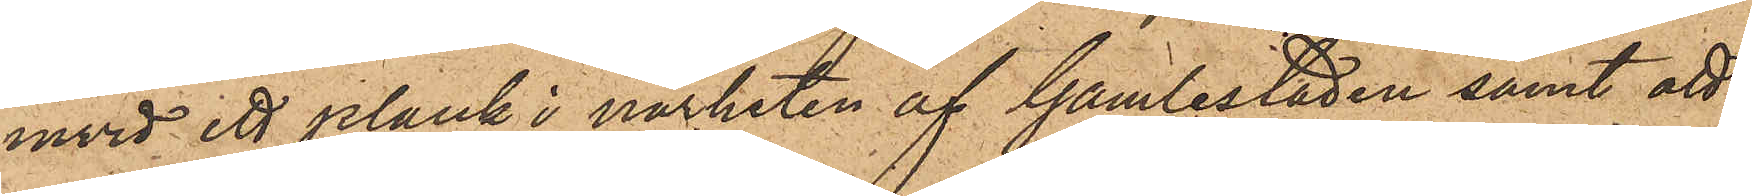invid ett plank i närheten af Gamlestaden samt att
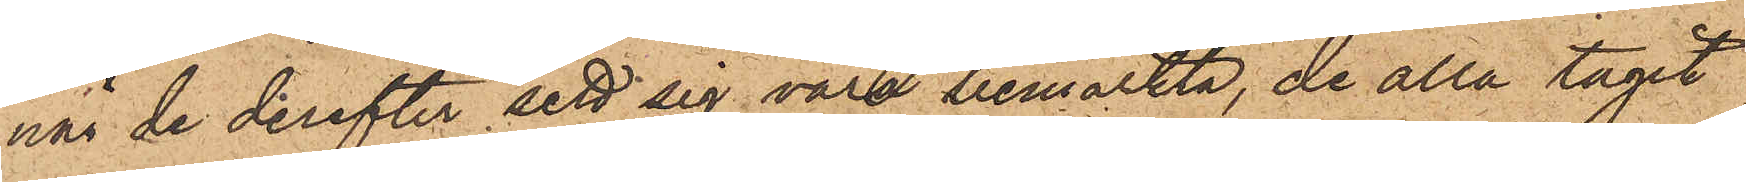när de derefter sett sig vara bemärkta, de alla tagit
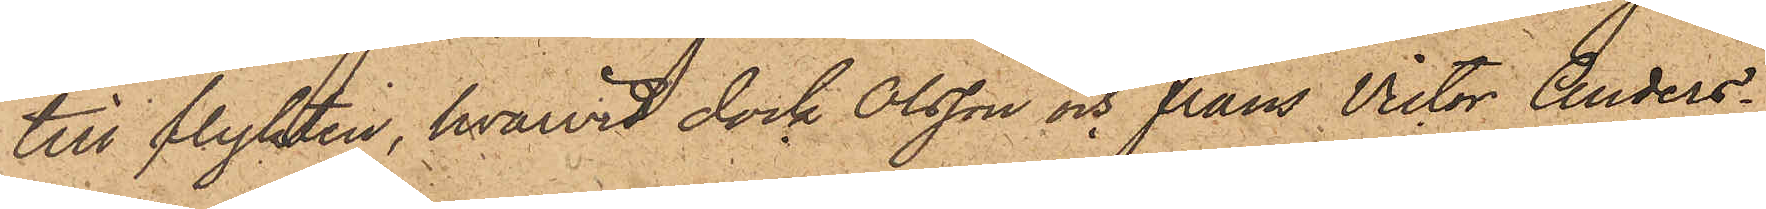till flykten, hvarvid dock Olsson och Frans Victor Anders¬
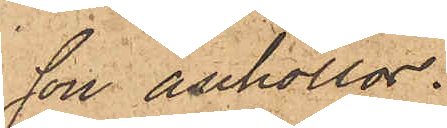son anhöllos.
